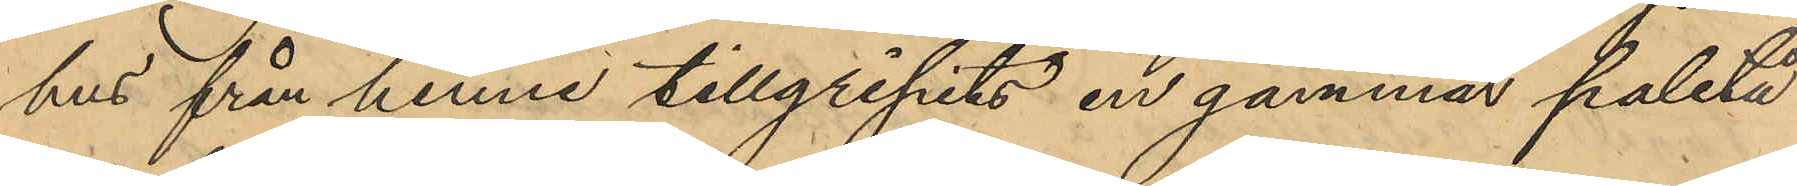hus från henne tillgripits en gammal paletå
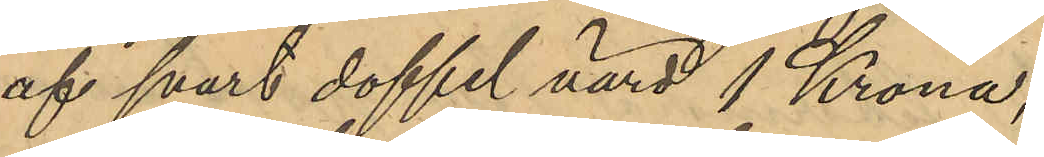af svart doffel, värd 1 Krona,
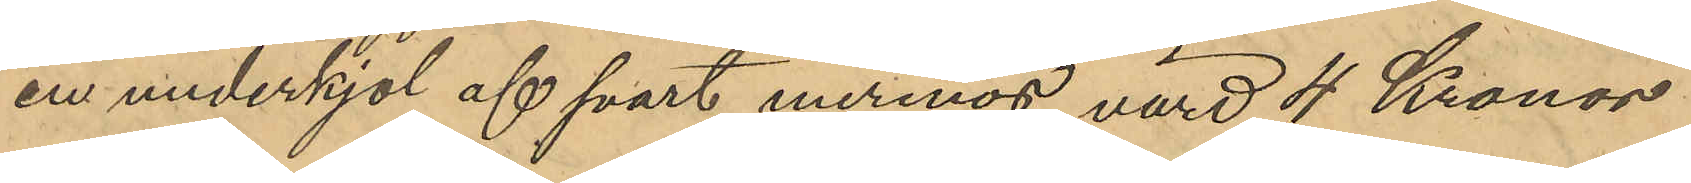en underkjol af svart merinor värd 4 Kronor
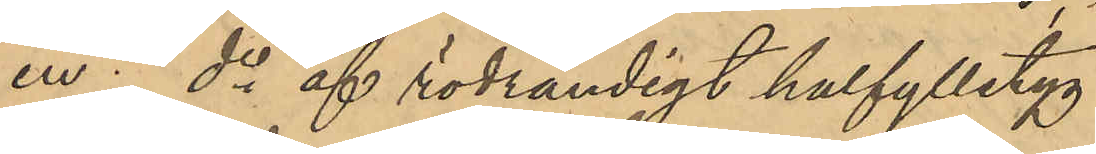en do af rödrandigt halfylletyg
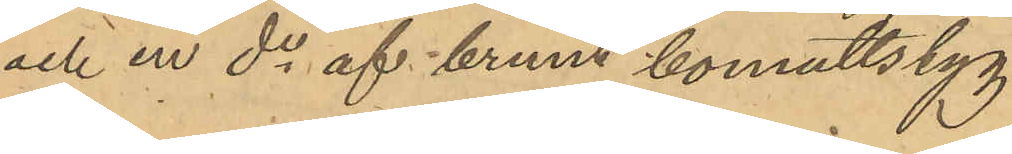och en do af brunt bomullstyg
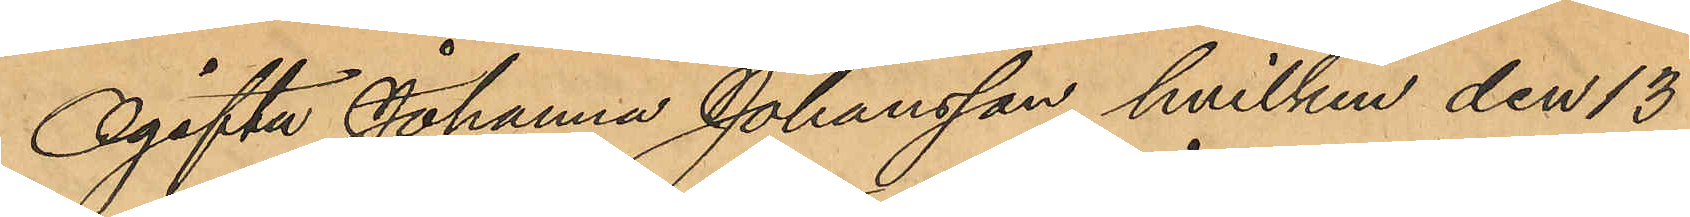Ogifta Johanna Johansson, hvilken den 13
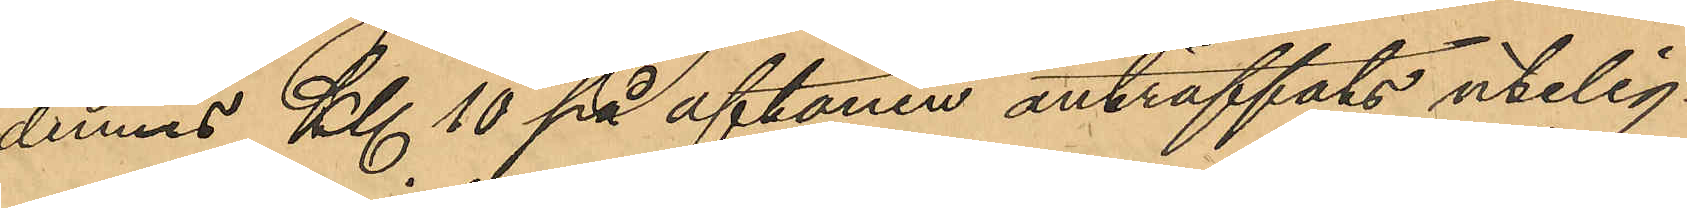dennes Kl 10 på aftonen anträffats utelig¬
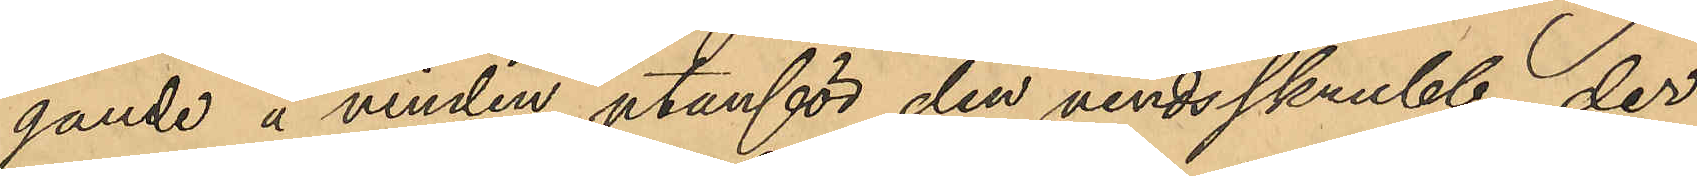gande å vinden utanför den vindsskrubb, der
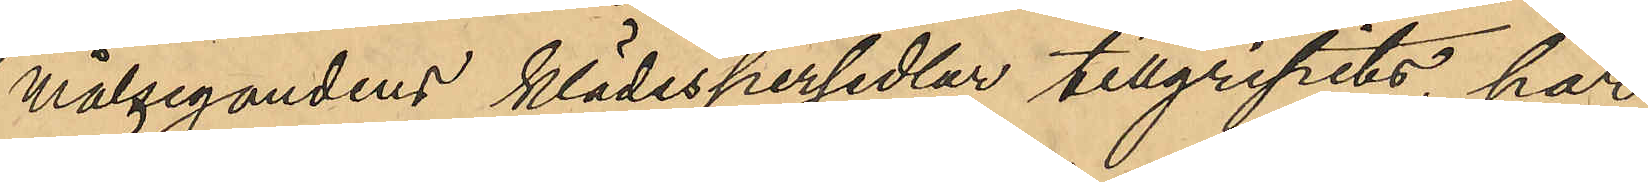målsegandens klädespersedlar tillgripits, har
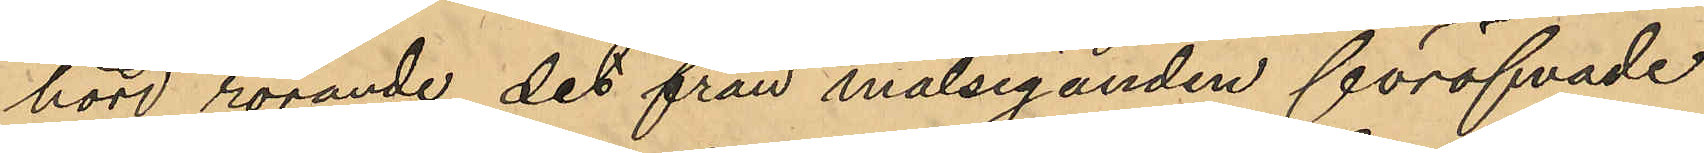hörd rörande det från målseganden föröfvade
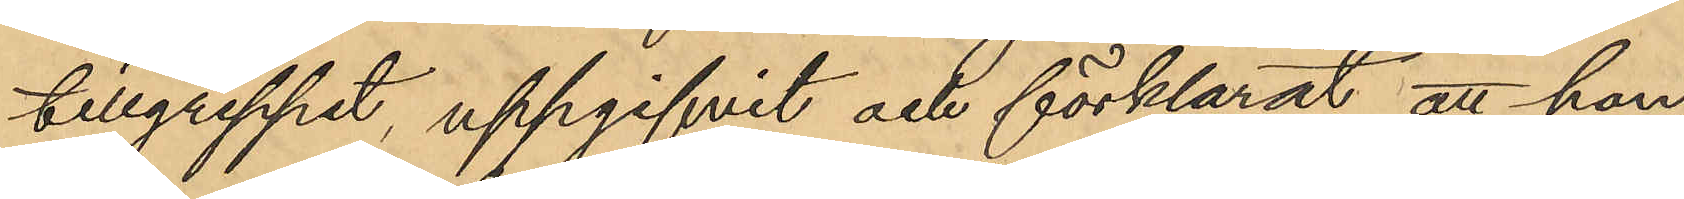tillgreppet, uppgifvit och förklarat, att hon,
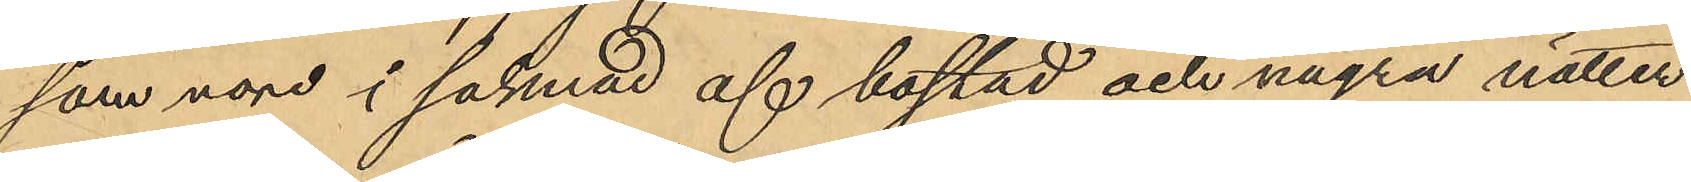som voro i saknad af bostad och några nätter
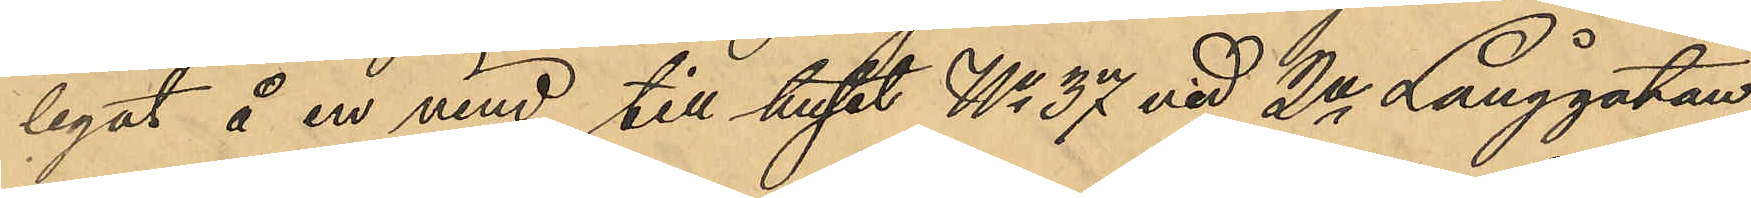legat å en vind till huset No 37 vid 2a Långgatan,
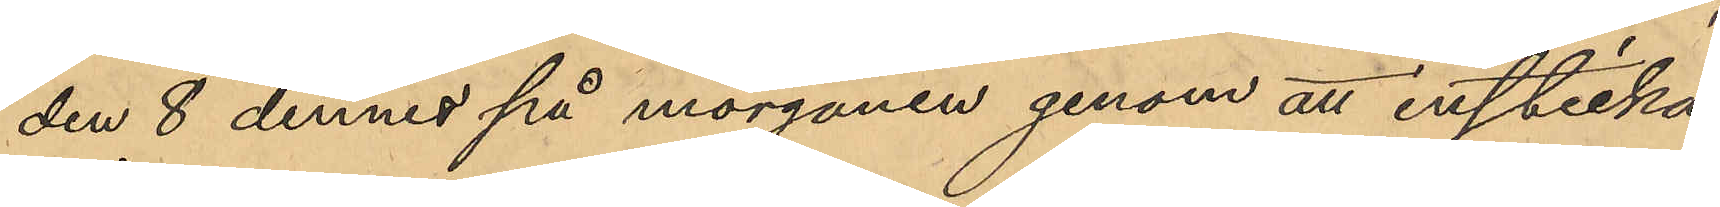den 8 dennes på morgonen genom att insticka
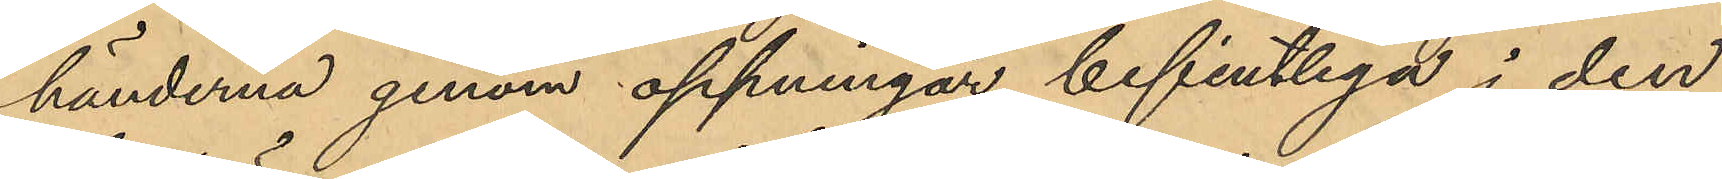händernaa genom öppningar befintliga i den
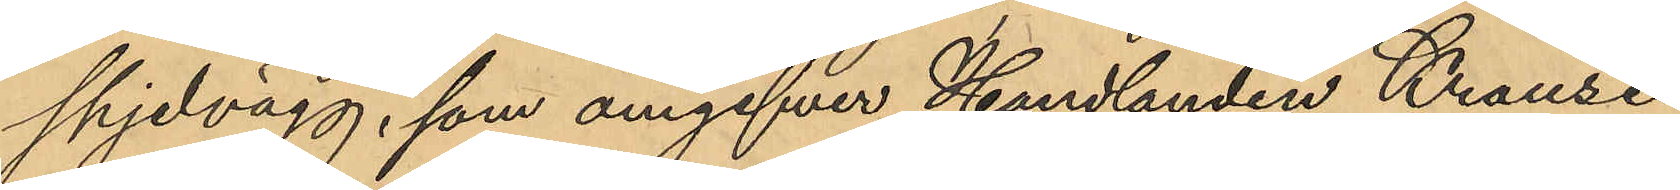spjelvägg, som omgifver Handlanden Krauses
